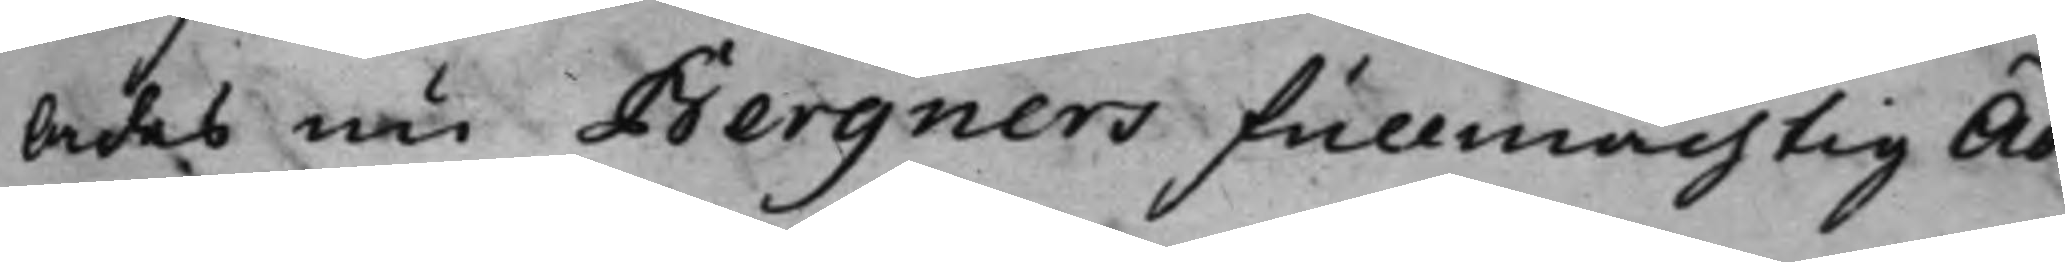lades nu Bergners Fullmächtig Ad¬
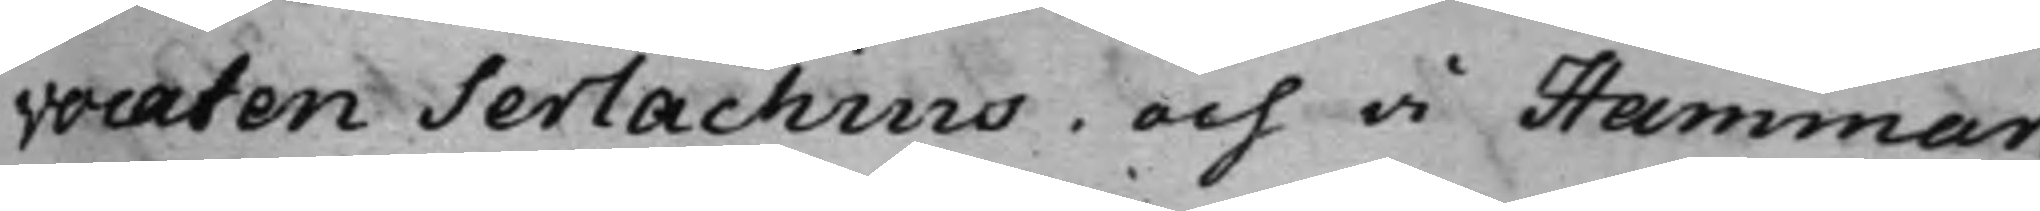vocaten Serlachius, och å Hammar¬
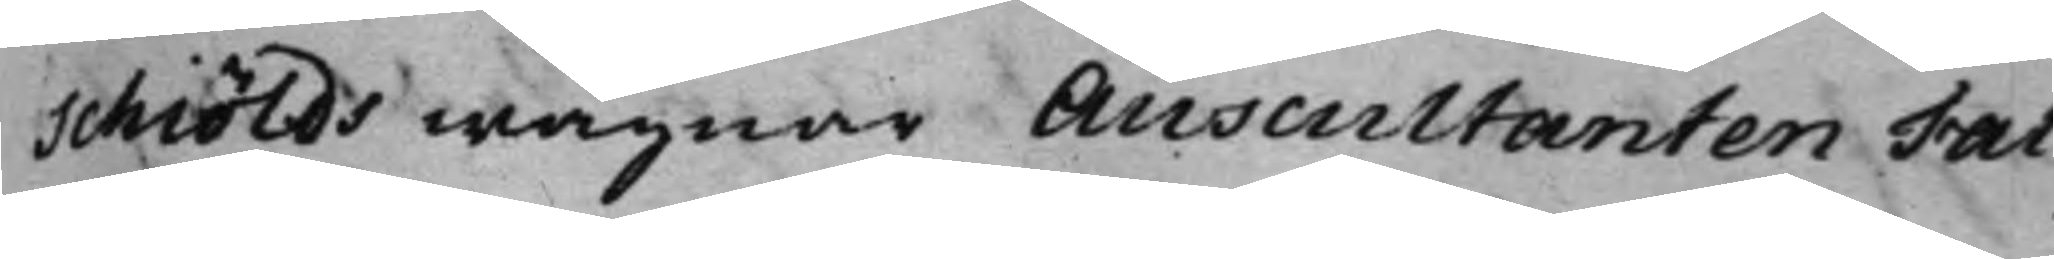schiölds wägnar Auscultanten Fal¬
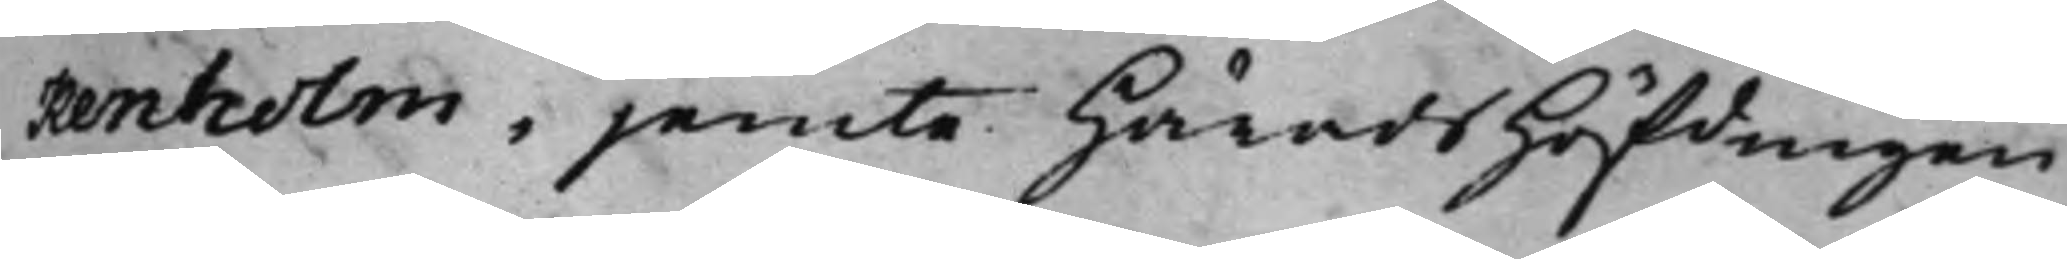kenholm, jemte HäradsHöfdingen
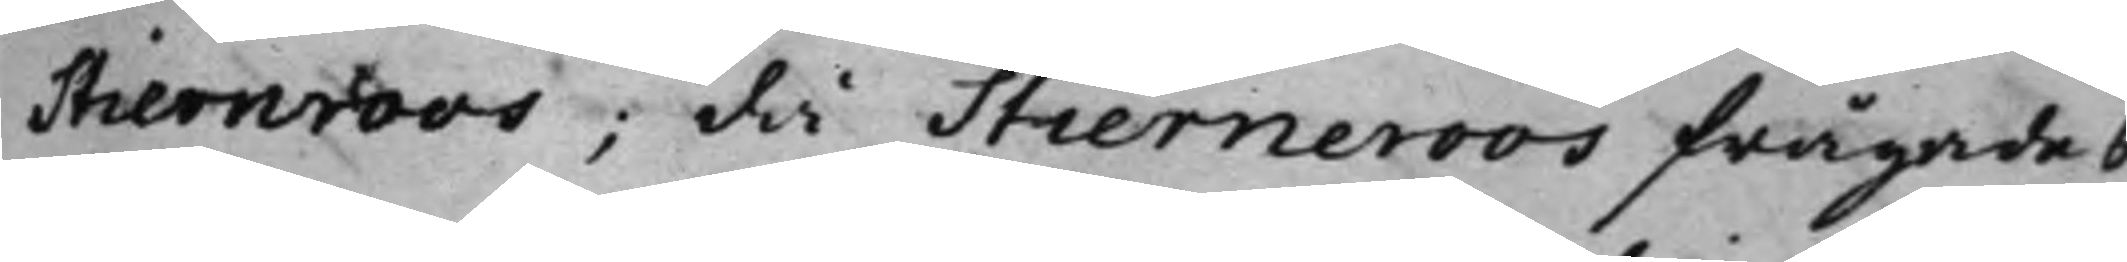Stiernroos; då Stierneroos frågades
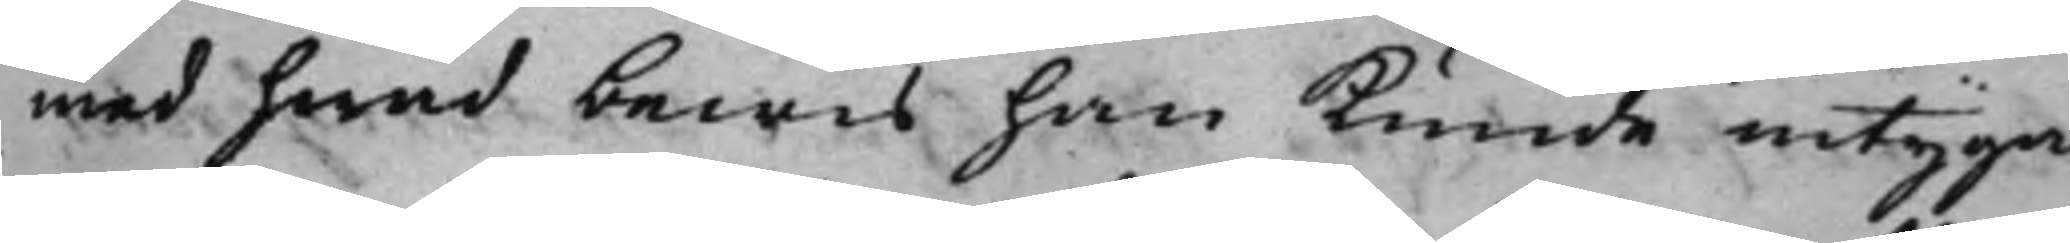med hwad bewis han kunde intyga,
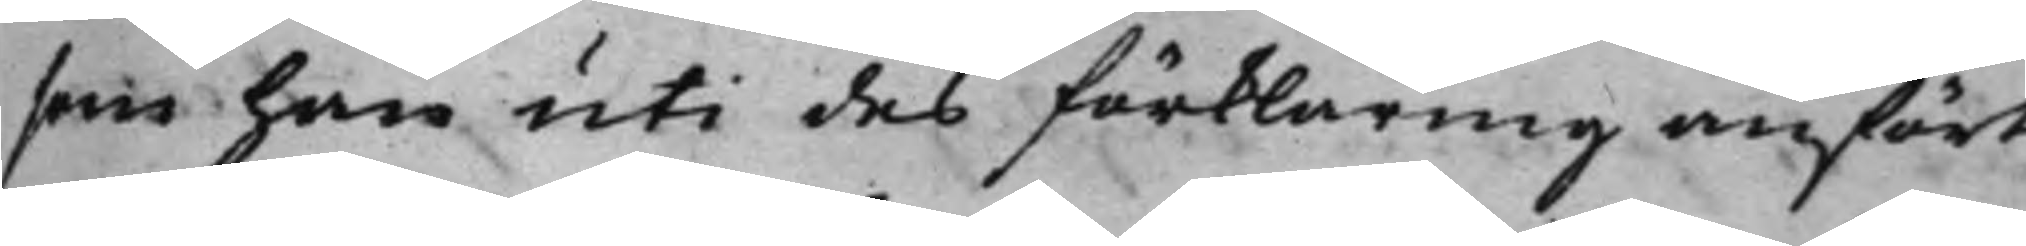som han uti des förklaring anfört,
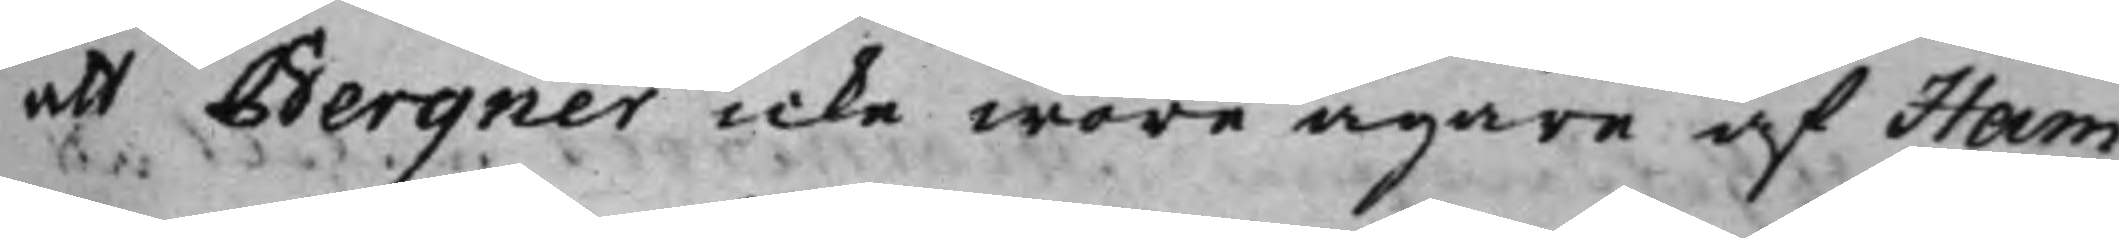att Bergner icke wore ägare af Ham¬
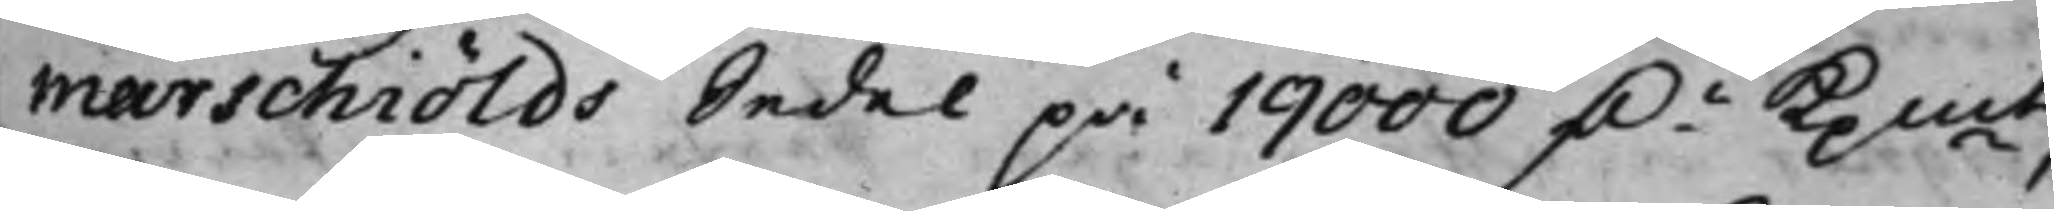marschiölds Sedel på 19000 D.r Kpmt,
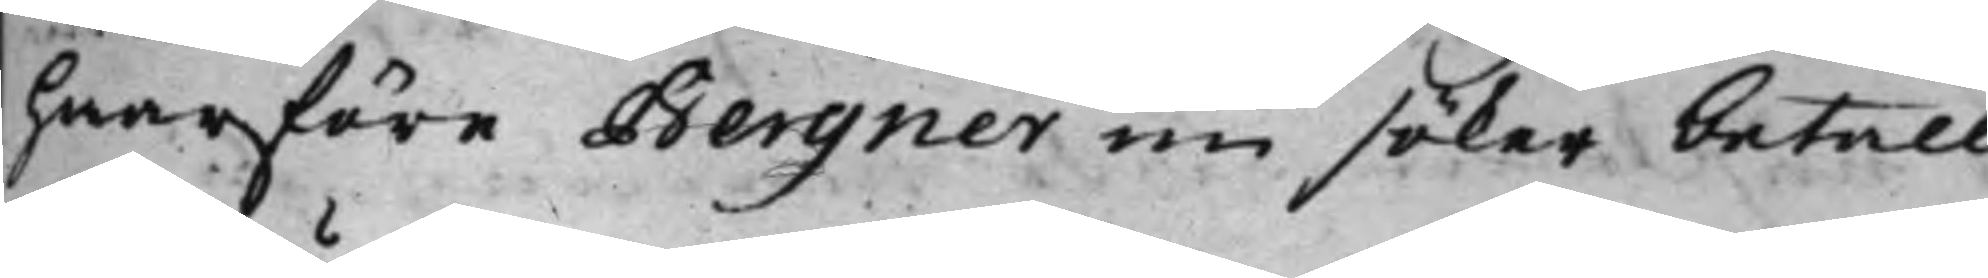hwarföre Bergner nu söker betall¬
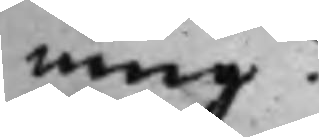ning?
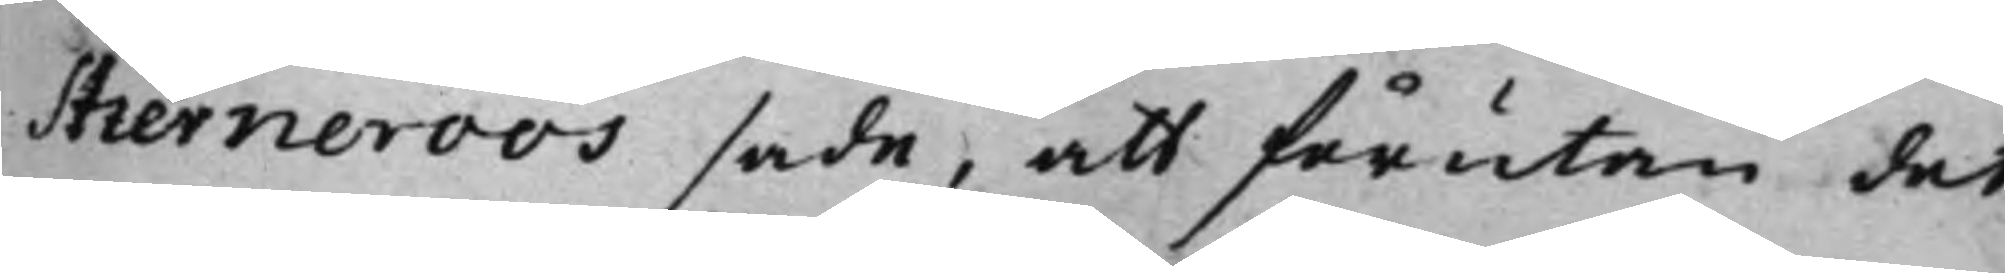Stierneroos sade, att förutan det
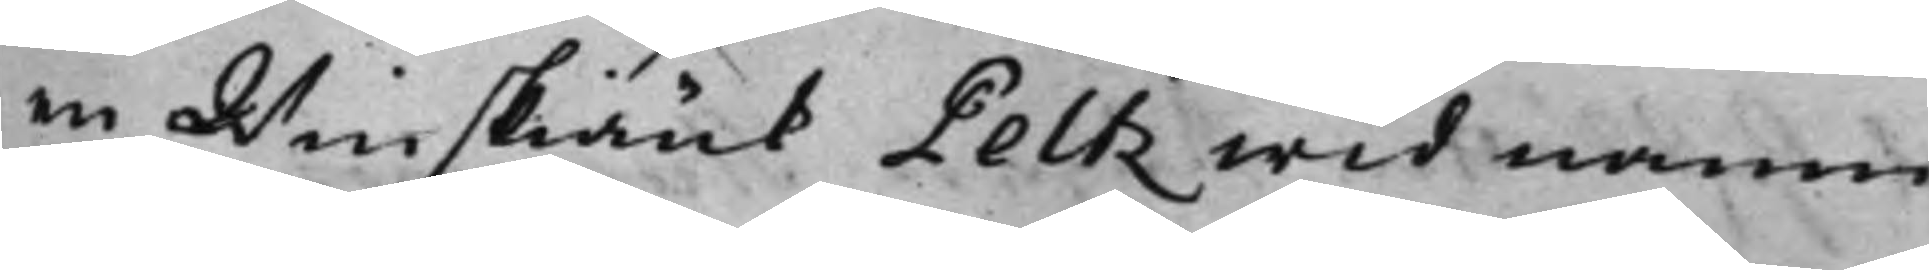en Winskiänk Peltz wid namn
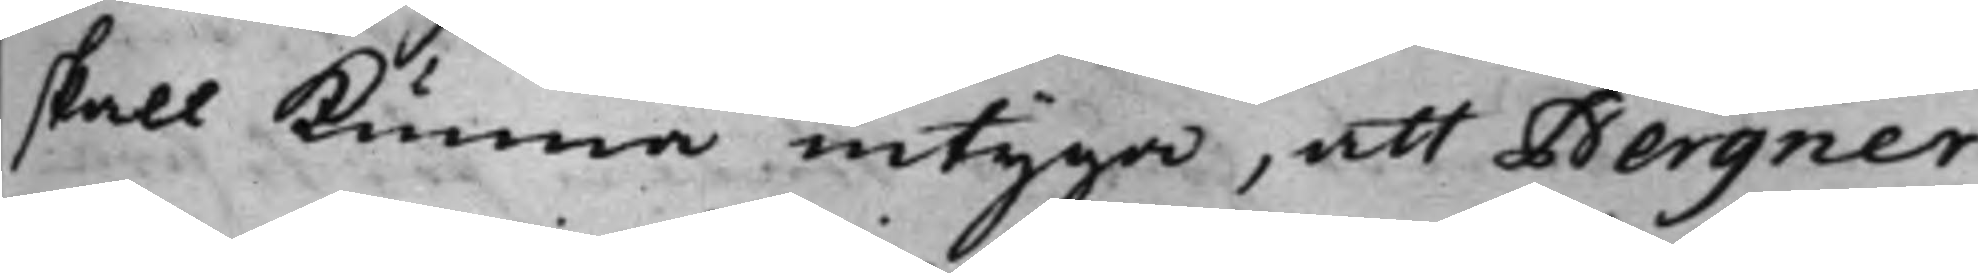skall kunna intyga, att Bergner
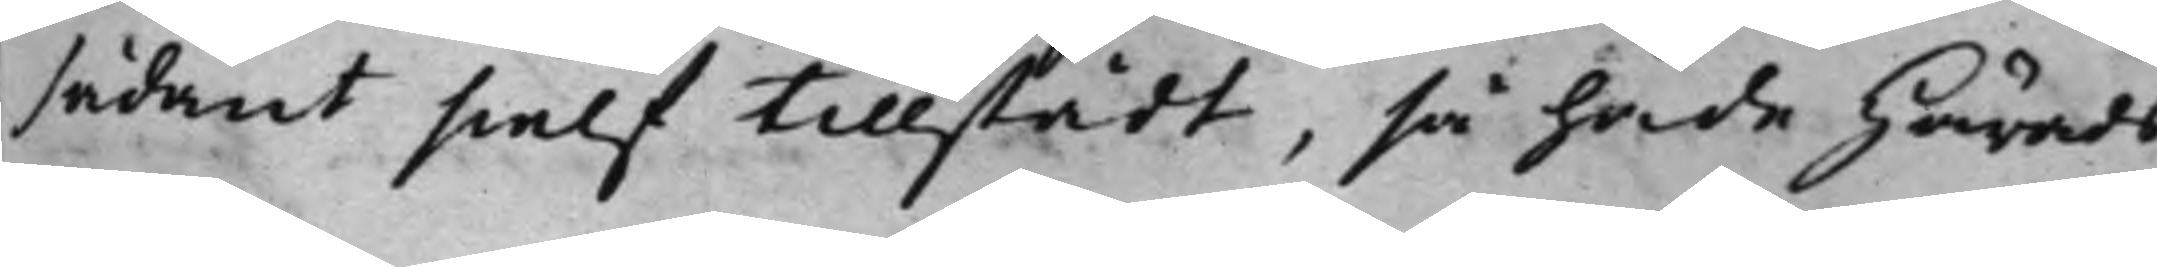sådant sielf tillstådt, så hade Härads¬
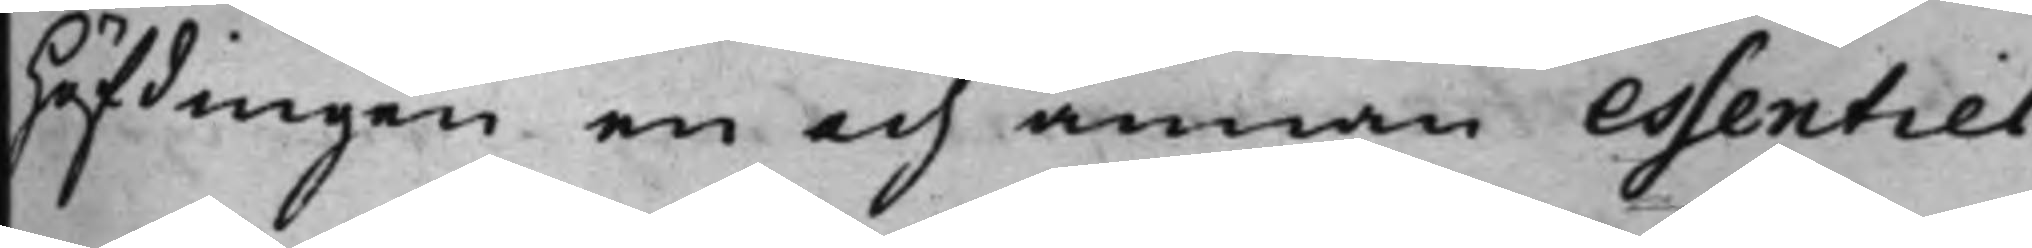höfdingen en och annan essentiel
